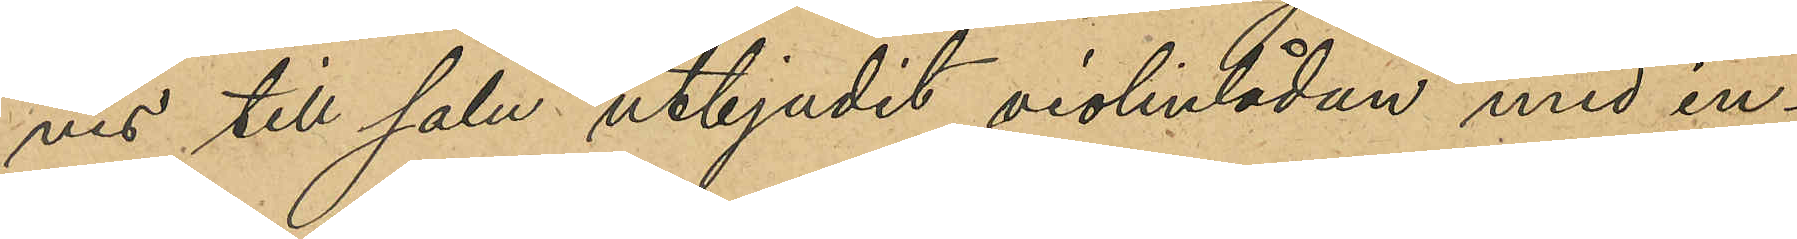ves till salu utbjudit violinlådan med in¬
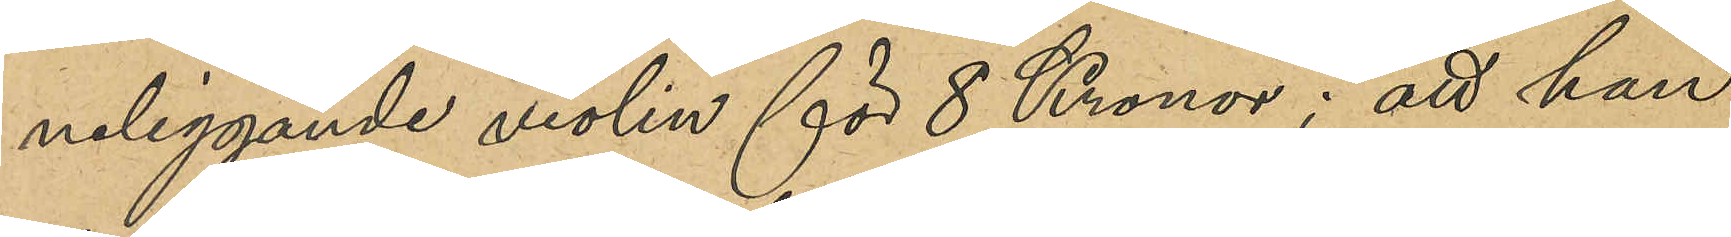neliggande violin för 8 Kronor; att han
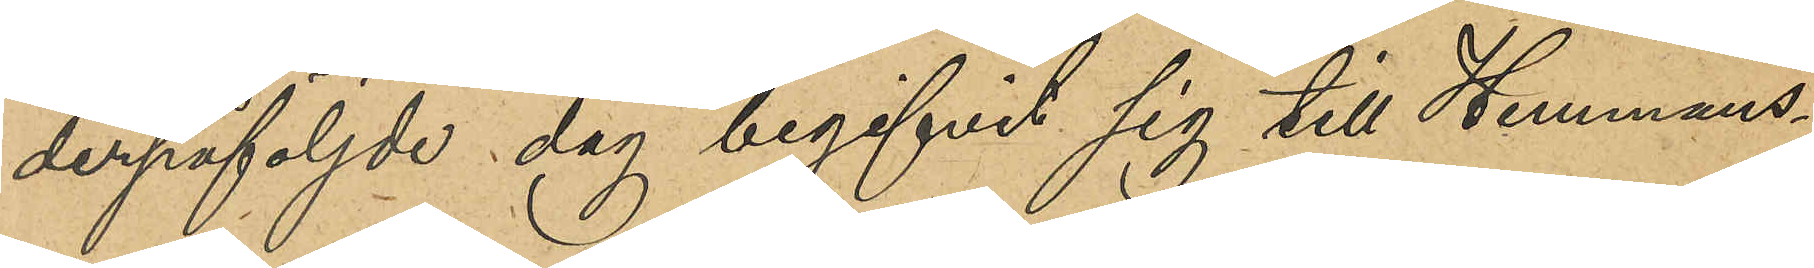derpåföljde dag begifvit sig till Hemmans¬
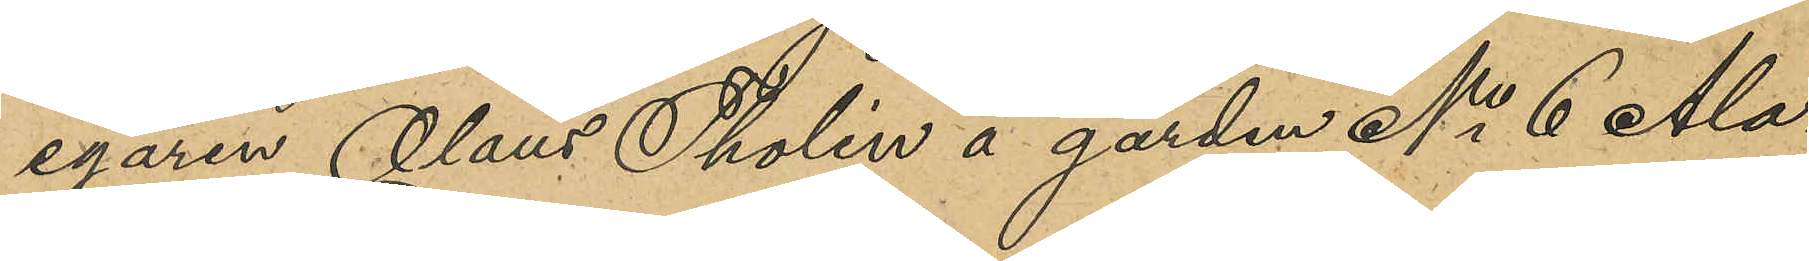egaren Olaus Tholin å gården No 6 Ala¬
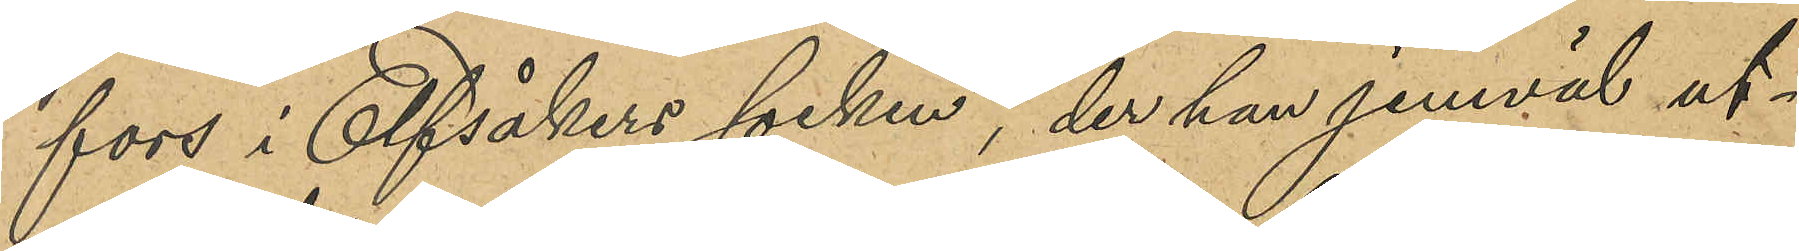fors i Elfsåkers socken, der han jemväl ut¬
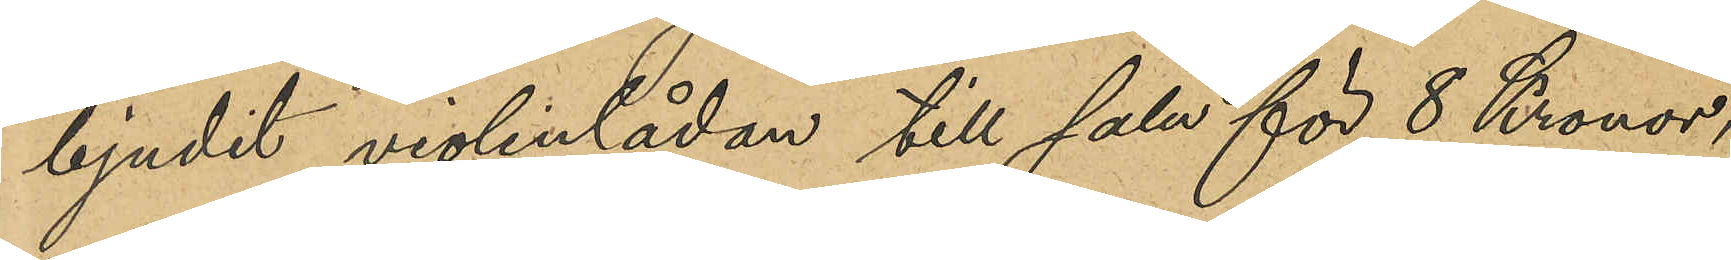bjudit violinlådan till salu för 8 Kronor,
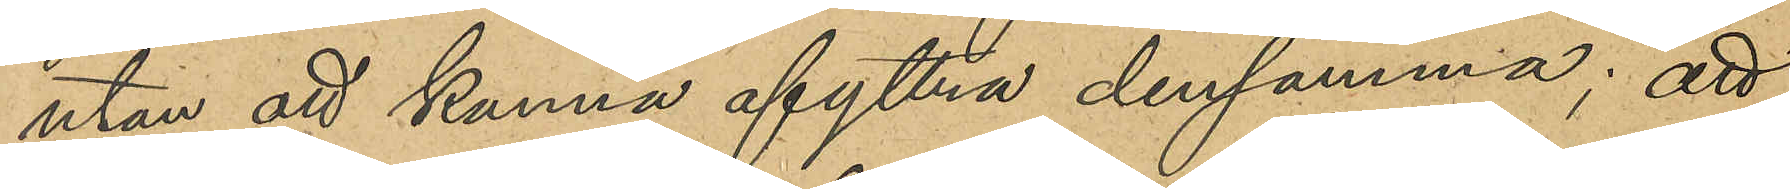utan att kunna afyttra densamma; att
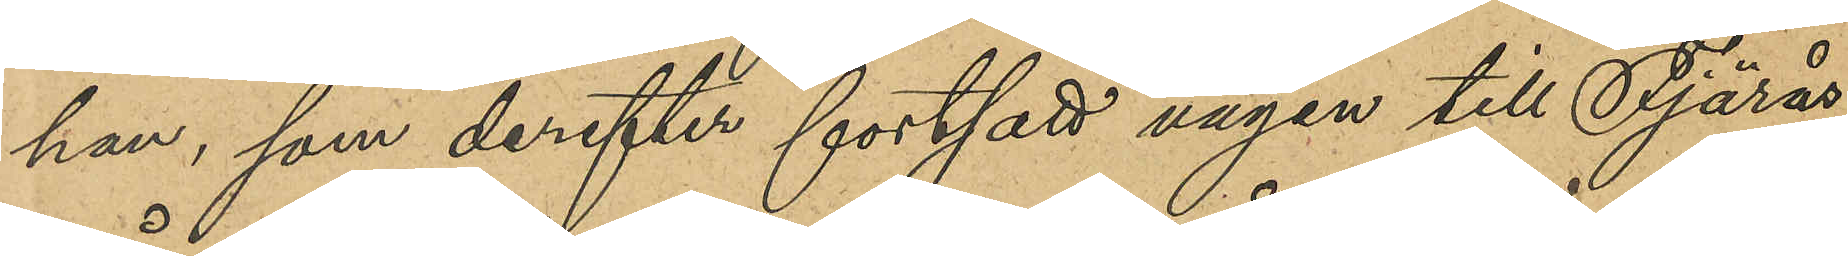han, som derefter fortsatt vägen till Fjärås,
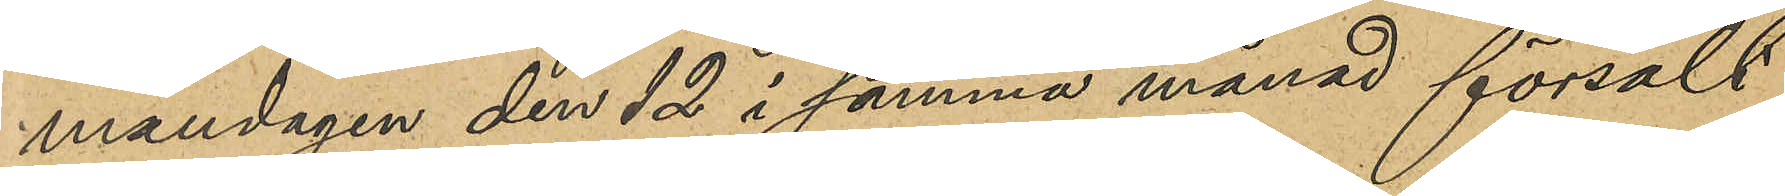måndagen den 12 i samma månad försålt
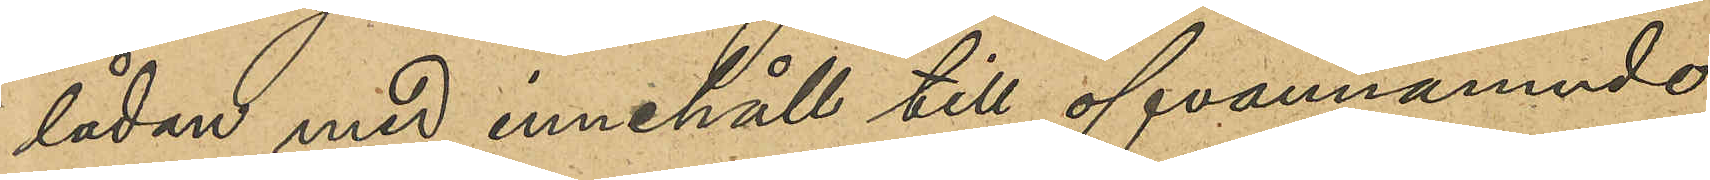lådan med innehåll till ofvannämnde
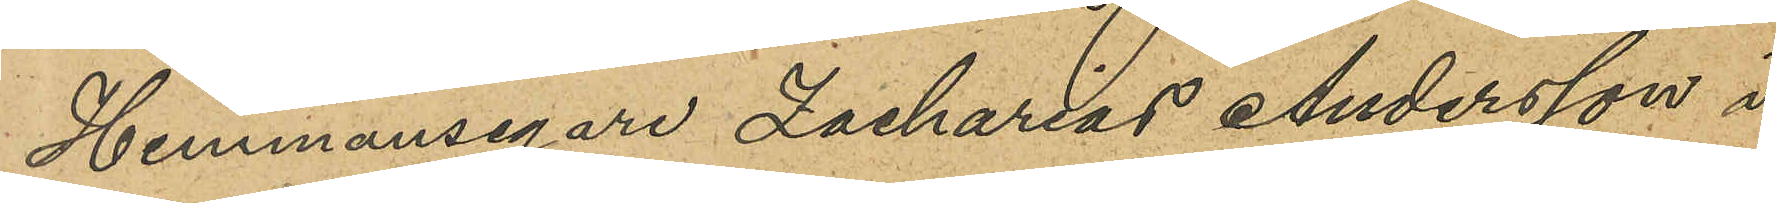Hemmansegare Zacharias Andersson i
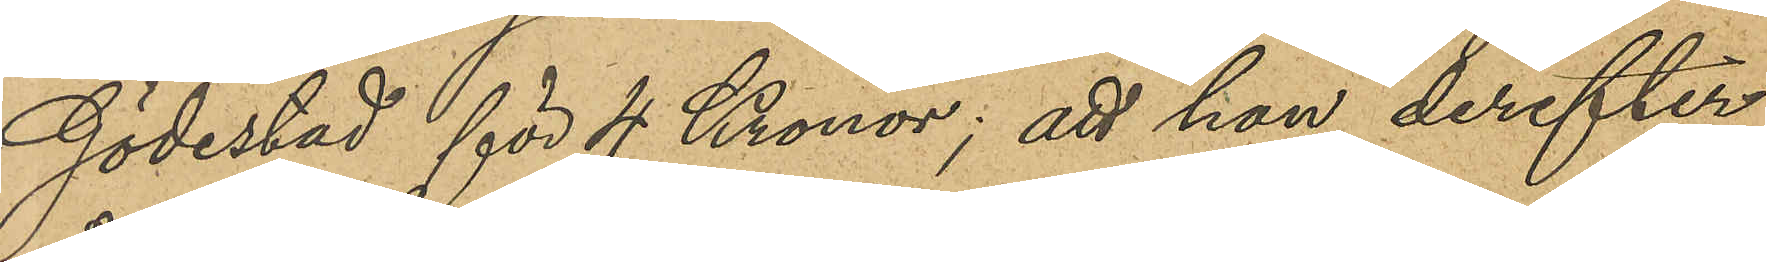Gödestad för 4 Kronor; att han derefter
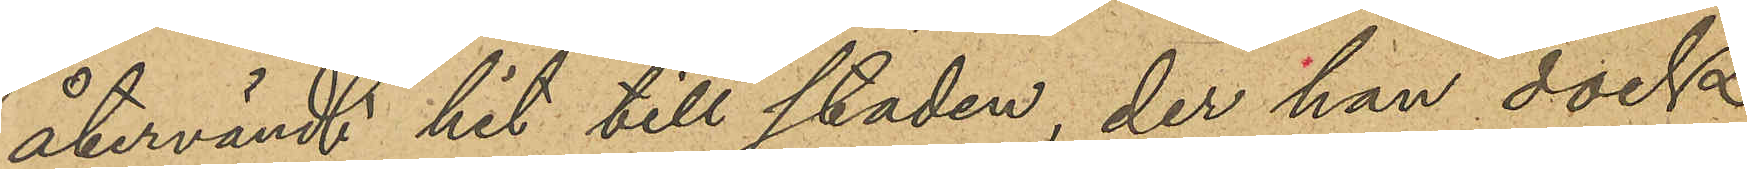återvändt hit till staden, der han dock
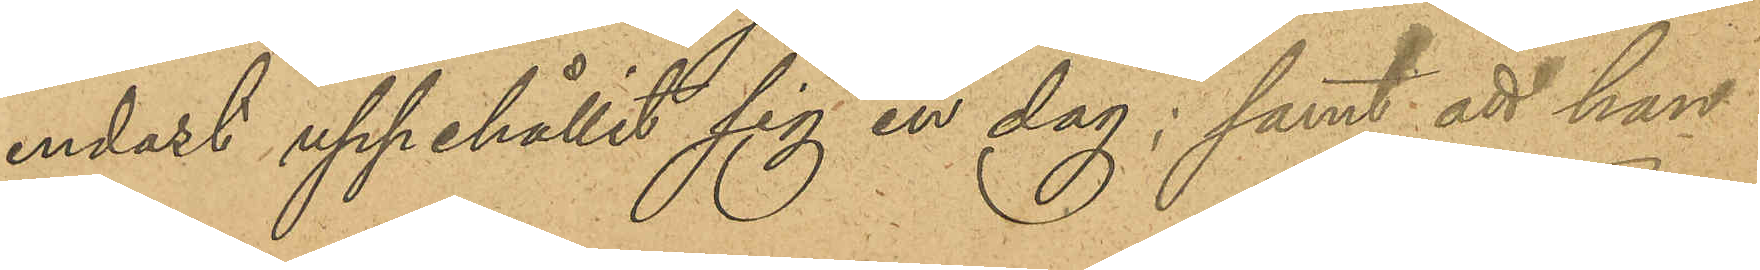endast uppehållit sig en dag; samt att han
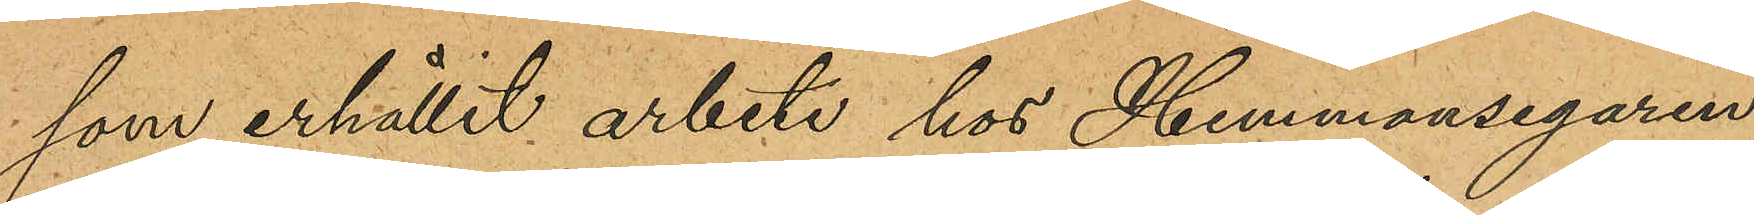som erhållit arbete hos Hemmansegaren
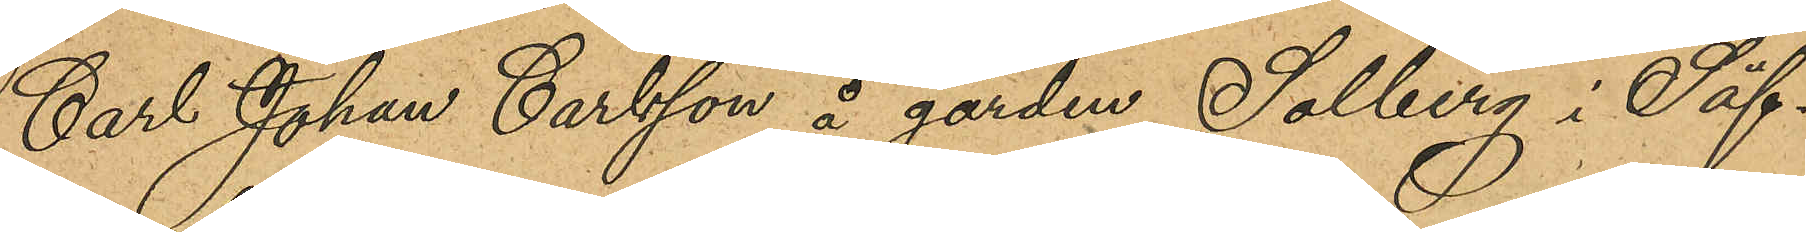Carl Johan Carlsson å gården Solberg i Säf¬
